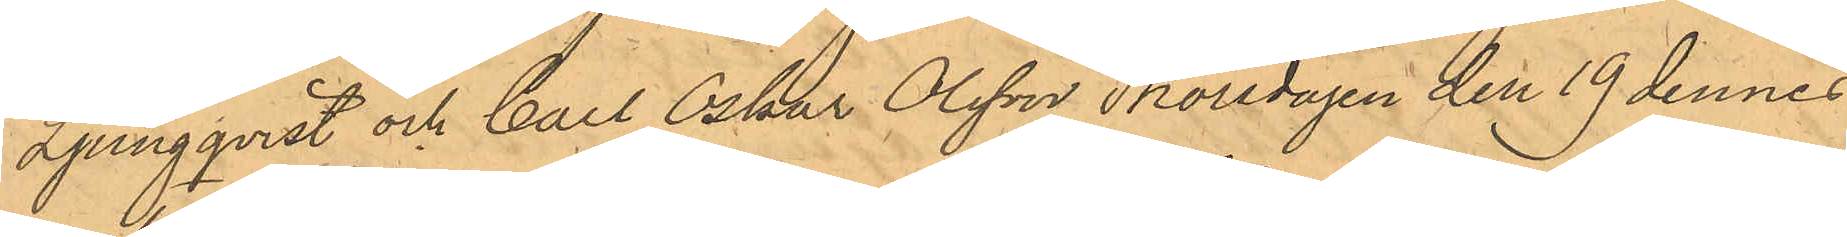Ljungqvist och Carl Oskar Olsson Thorsdagen den 19 dennes
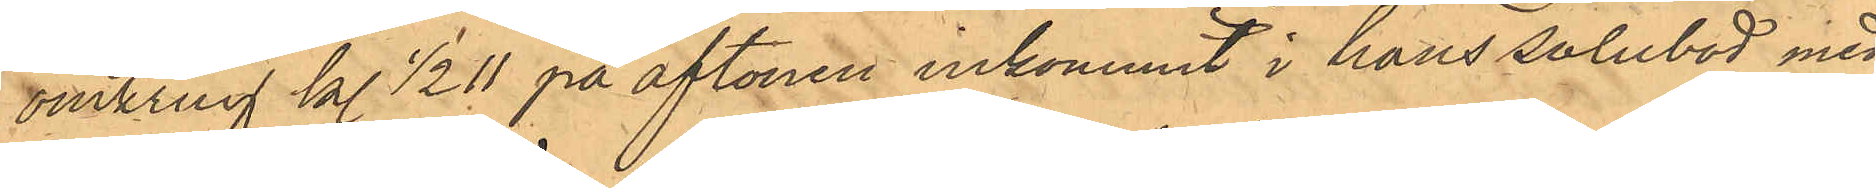omkring kl 1/2 11 på aftonen inkommit i hans salubod med
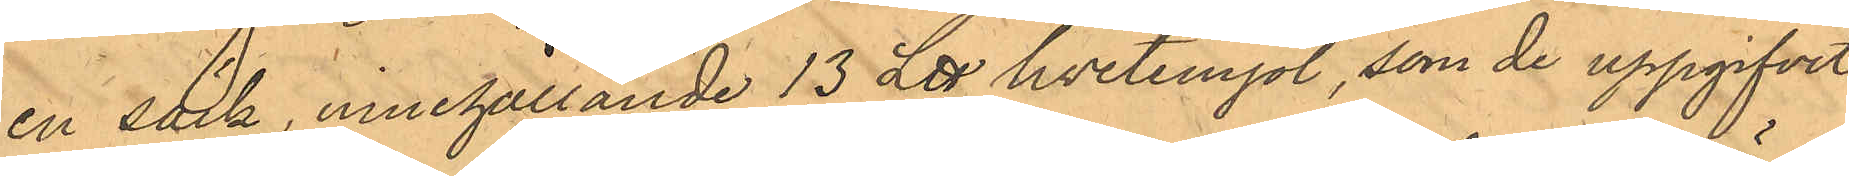en säck, innehållande 13 L℔ hvetemjöl, som de uppgifvit
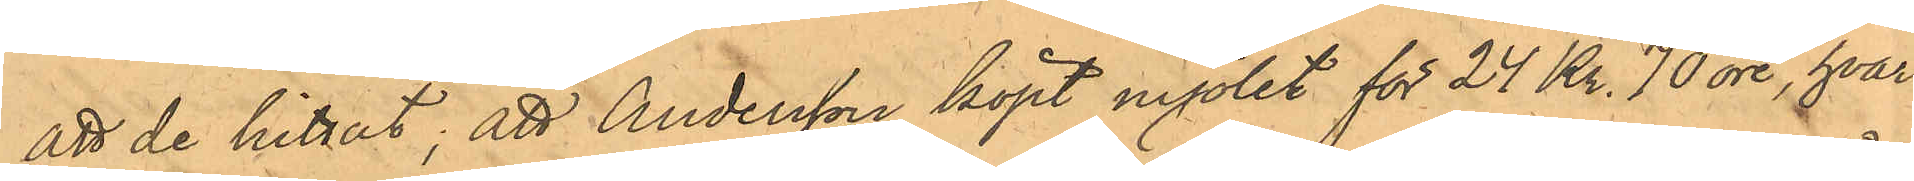att de hittat; att Andersson köpt mjölet för 24 Kr. 70 öre, hvar¬
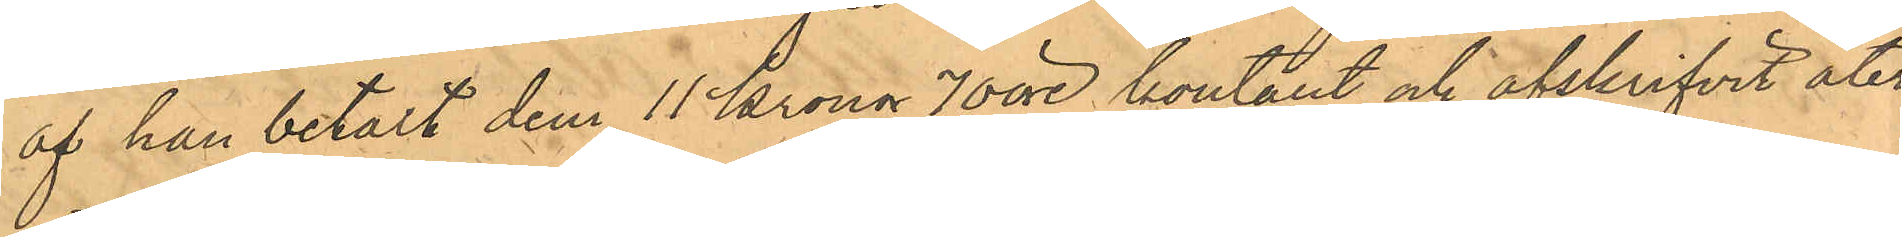af han betalt dem 11 Kronor 70 öre och afskrifvit åter¬
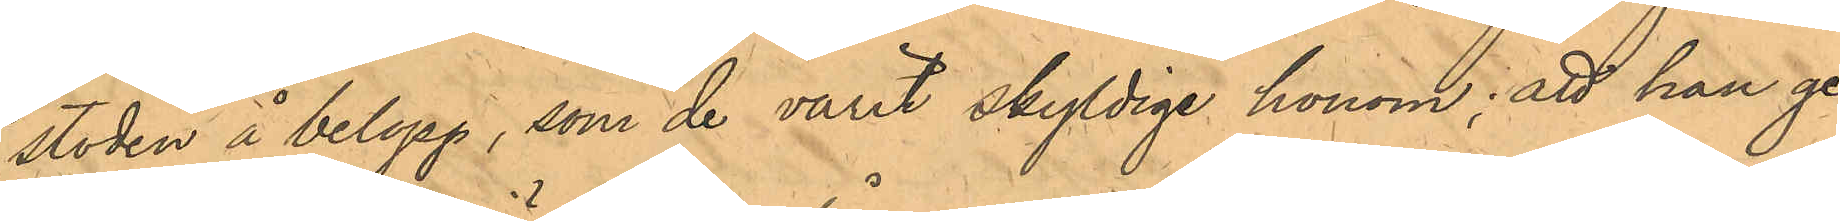stoden å belopp, som de varit skyldige honom; att han ge¬
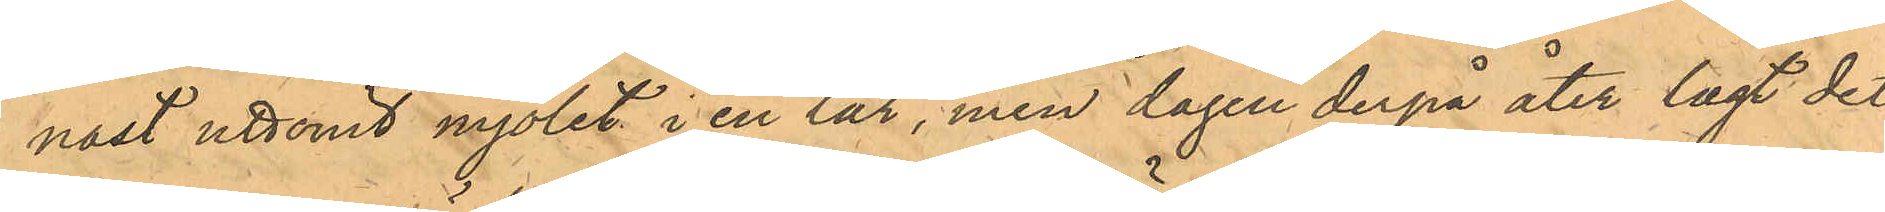nast uttömt mjölet i en lår, men dagen derpå åter lagt det
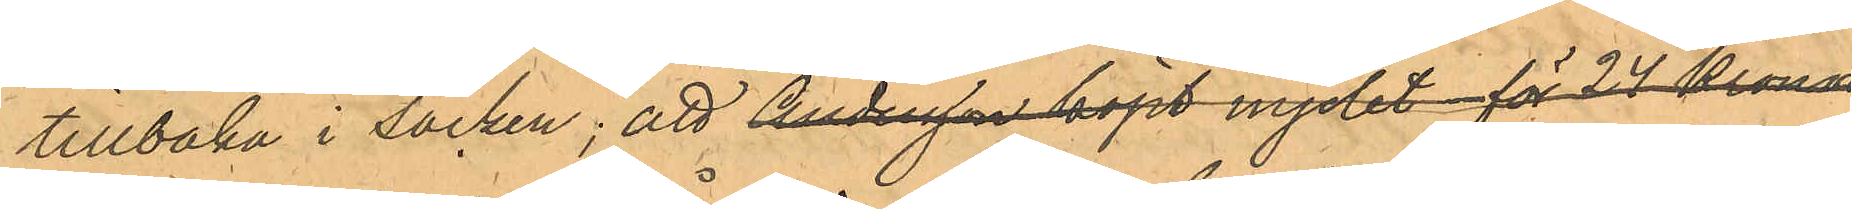tillbaka i säcken: att Andersson köpt mjölet för 24 Kronor
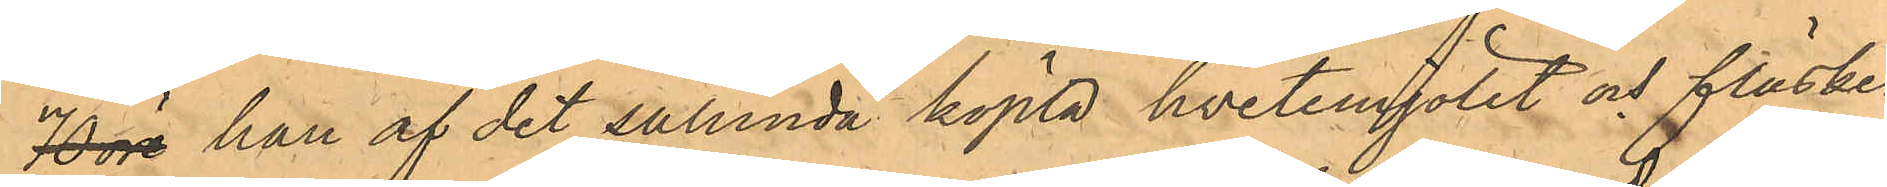70 öre han af det sålunda köpta hvetemjölet och fläsket
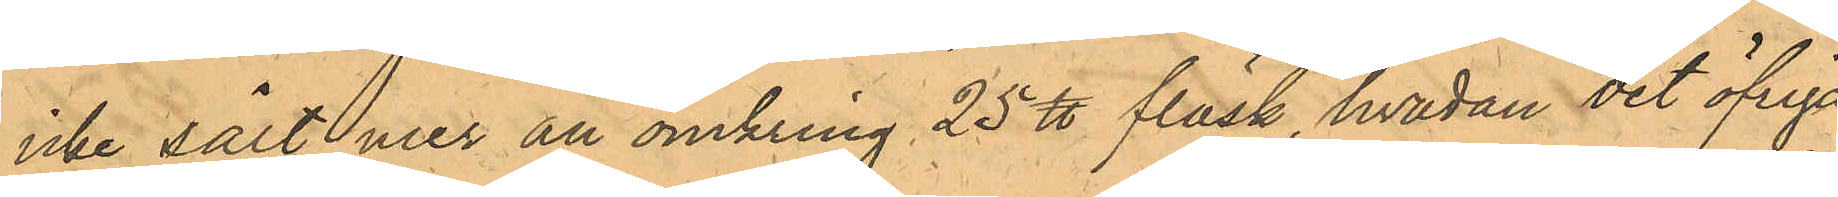icke sålt mer än omkring 25 ℔ fläsk, hvadan det öfriga
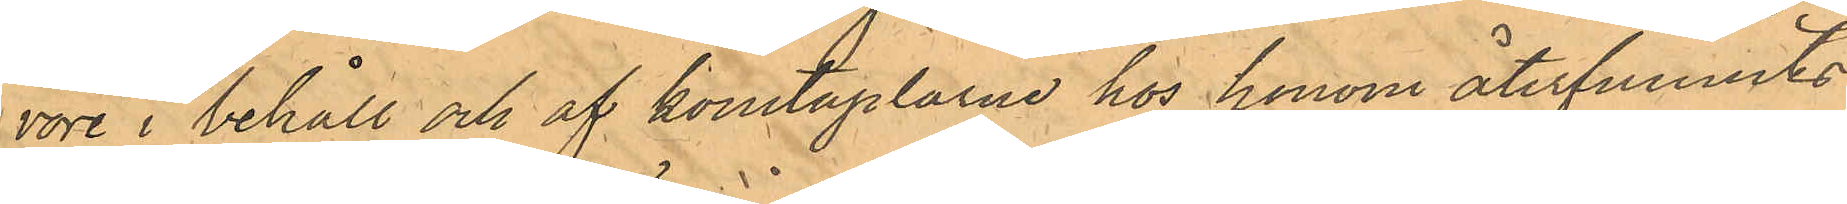vore i behåll och af konstaplarna hos honom återfunnits
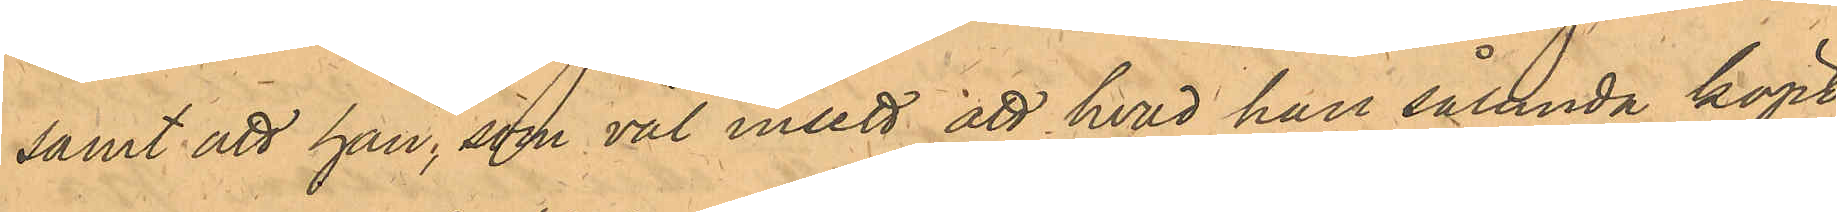samt att han; som väl insett att hvad han sålunda köpt
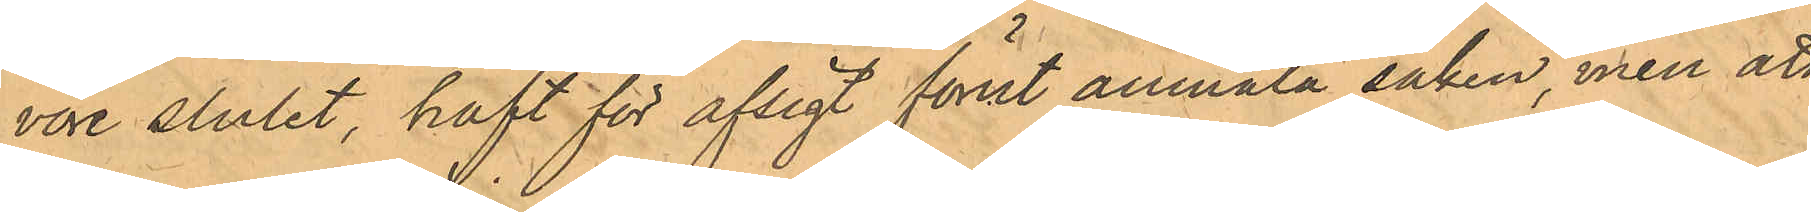vore stulet, haft för afsigt förut anmäla saken, men att
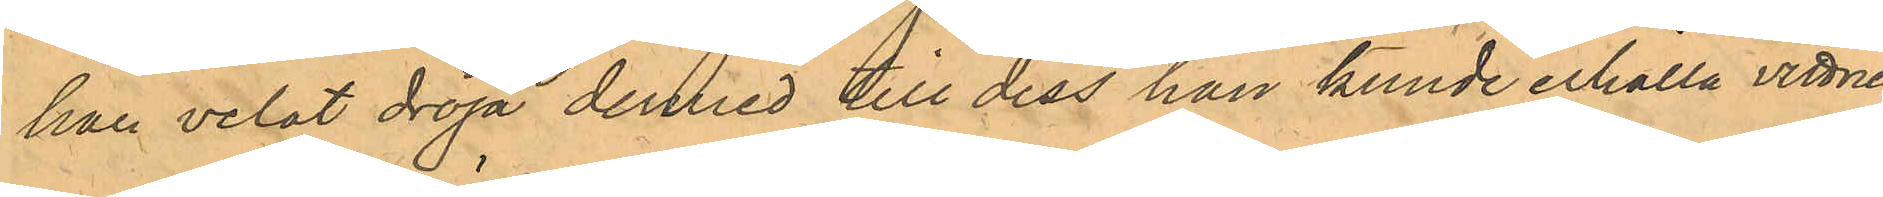han velat dröja dermed till dess han kunde erhålla vittnen,
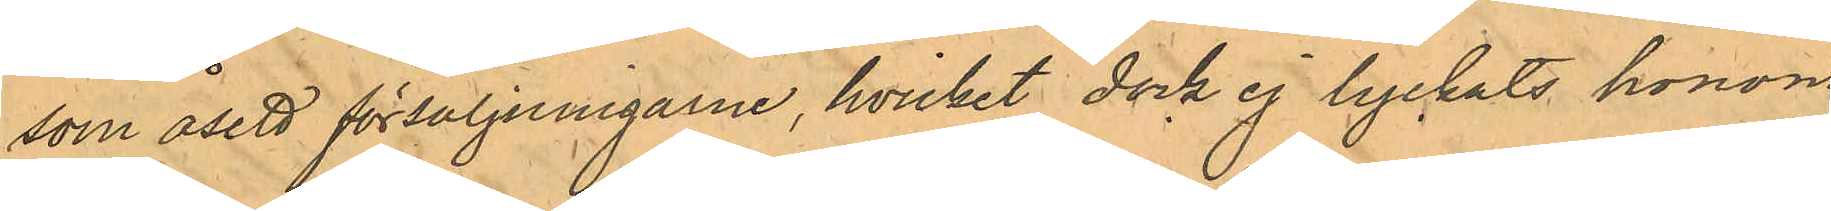som åsett försäljningarne, hvilket dock ej lyckats honom,
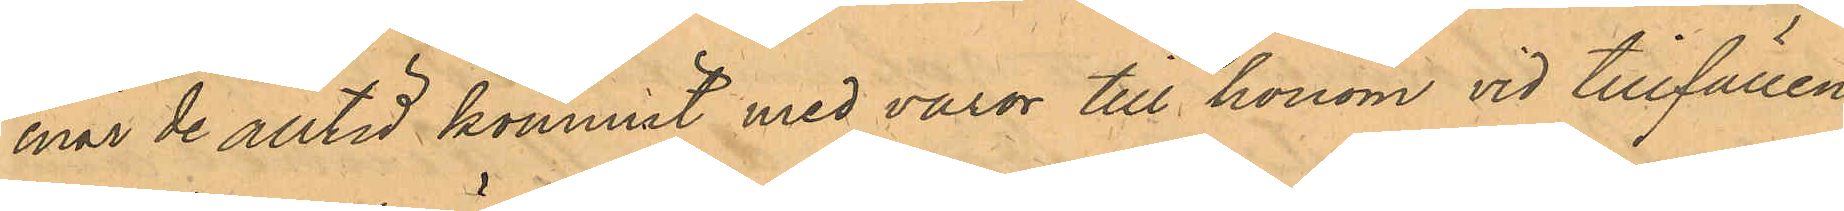enär de alltid kommit med varor till honom vid tillfällen,
